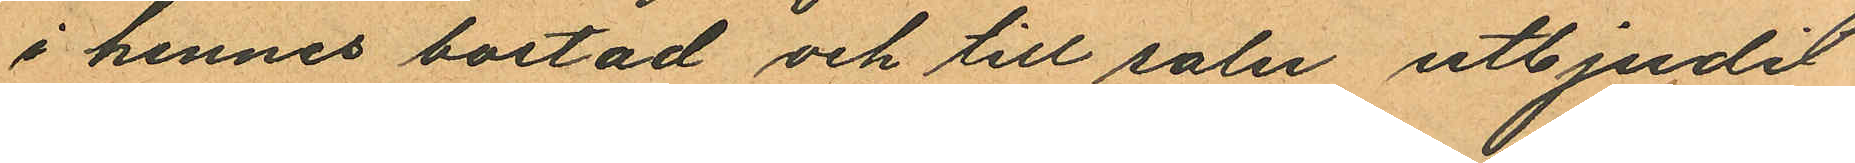i hennes bostad och till salu utbjudit
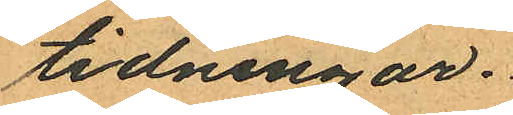tidningar.
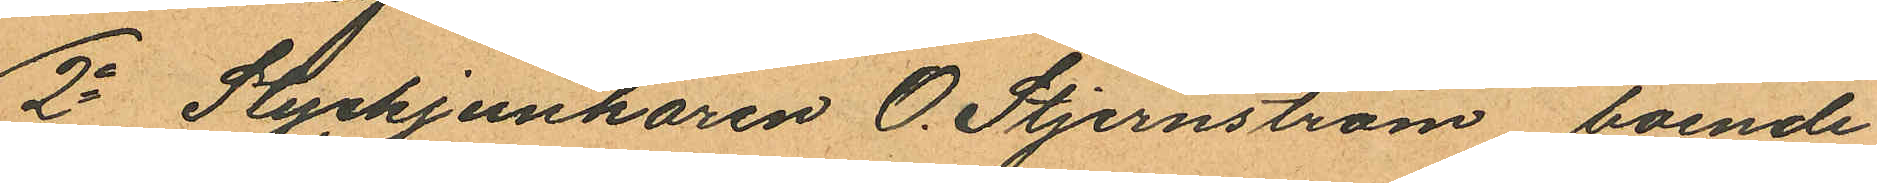2o Styckjunkaren O. Stjernström, boende
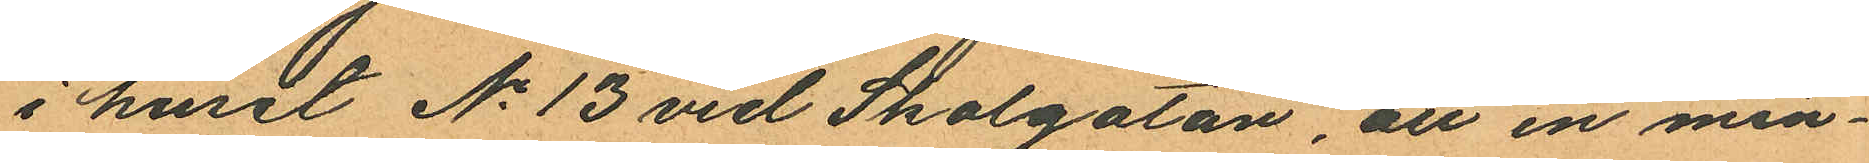i huset No 13 vid Skolgatan, att en min¬
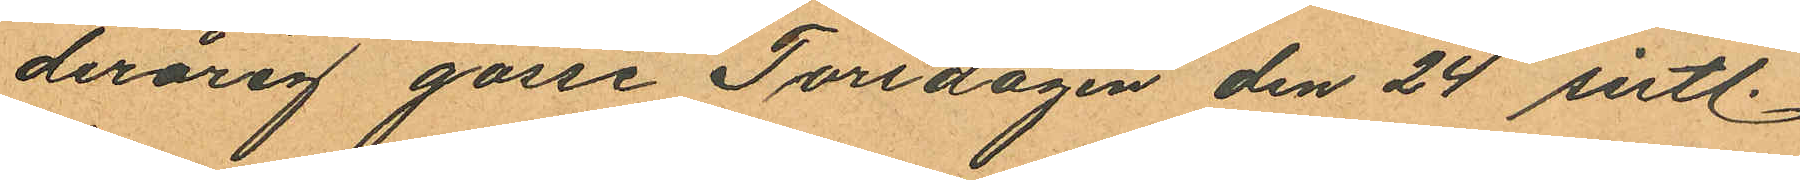derårig gosse Torsdagen den 24 sistl.
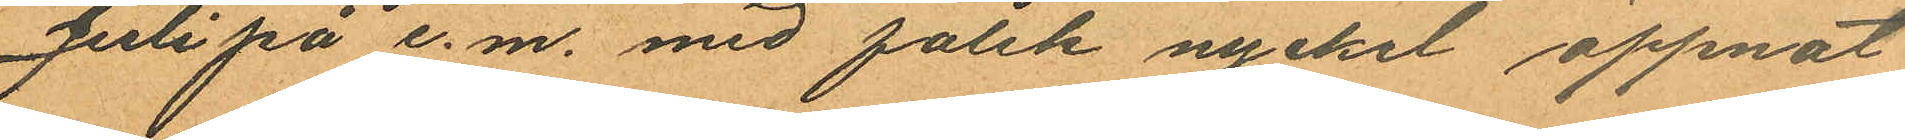Juli på e. m. med falsk nyckel öppnat
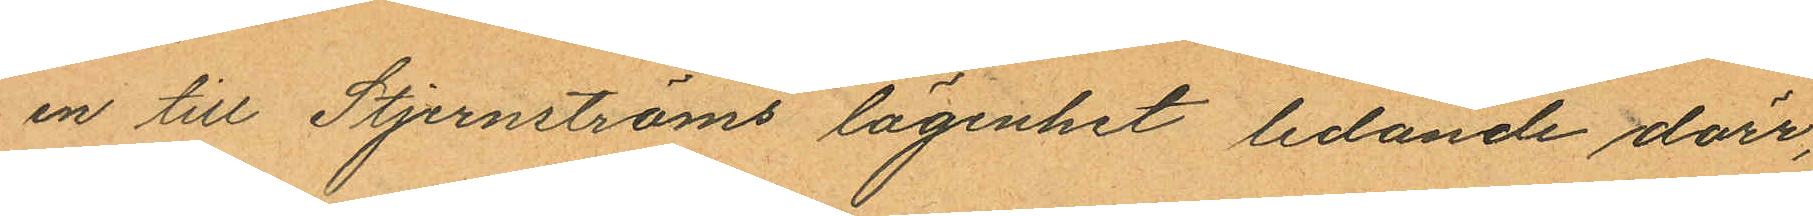en till Stjernströms lägenhet ledande dörr,
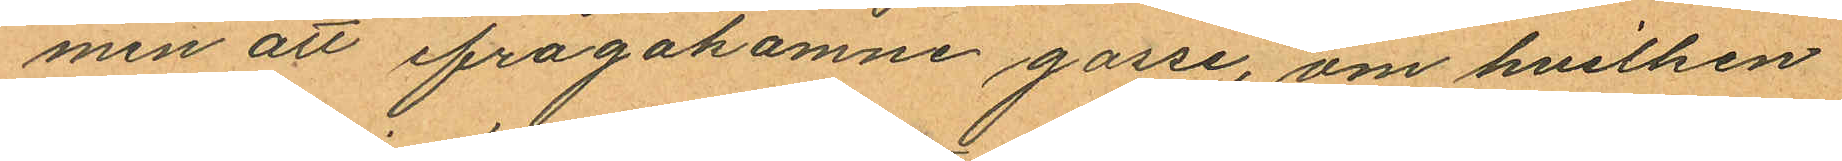men att ifrågakomne gosse, om hvilken
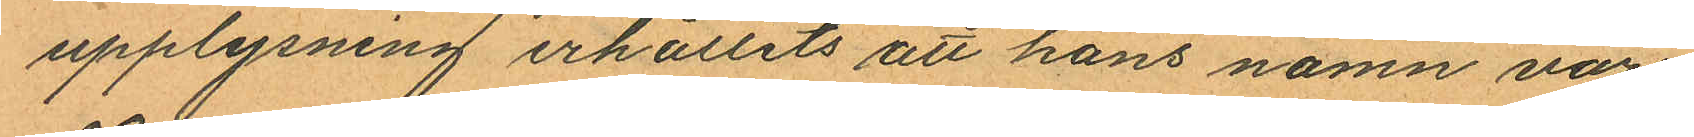upplysning erhållits att hans namn vore
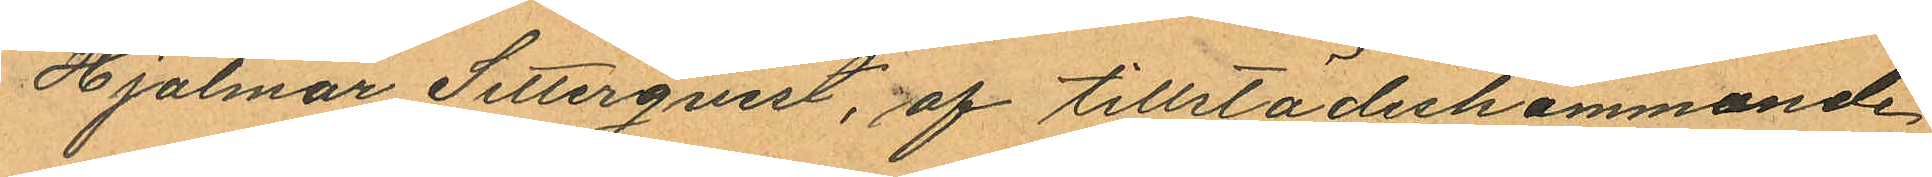Hjalmar Setterqvist, af tillstädeskommande
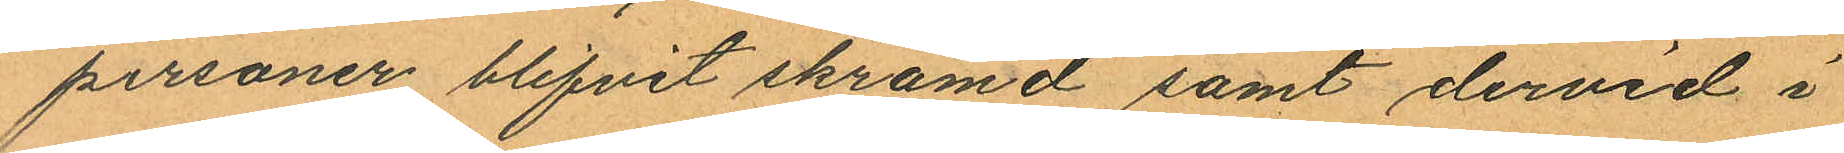personer blifvit skrämd samt dervid i
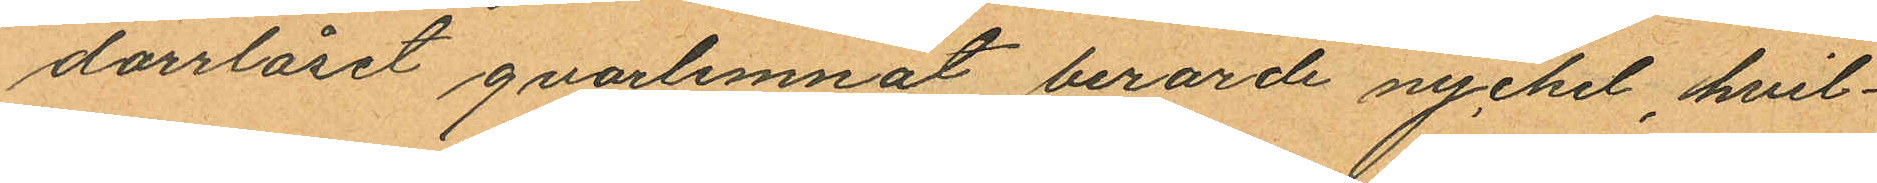dörrlåset qvarlemnat berorde nyckel, hvil¬
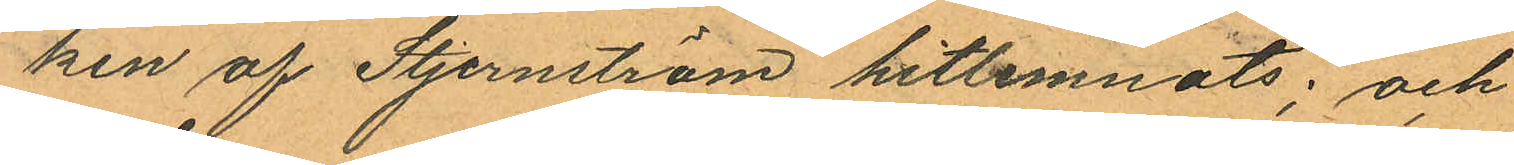ken af Stjernström hitlemnats; och
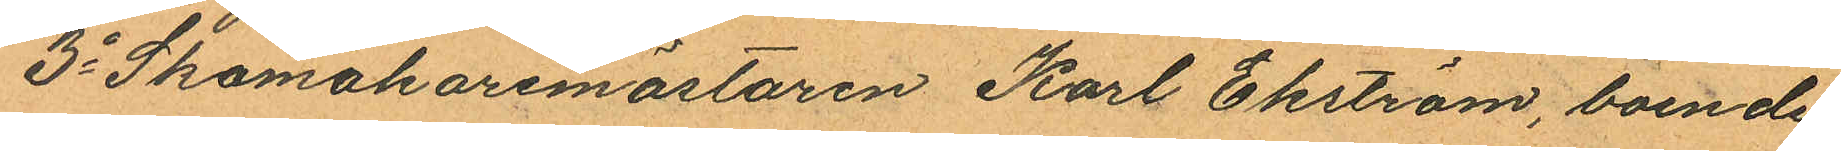3o Skomakaremästaren Karl Ekström, boende
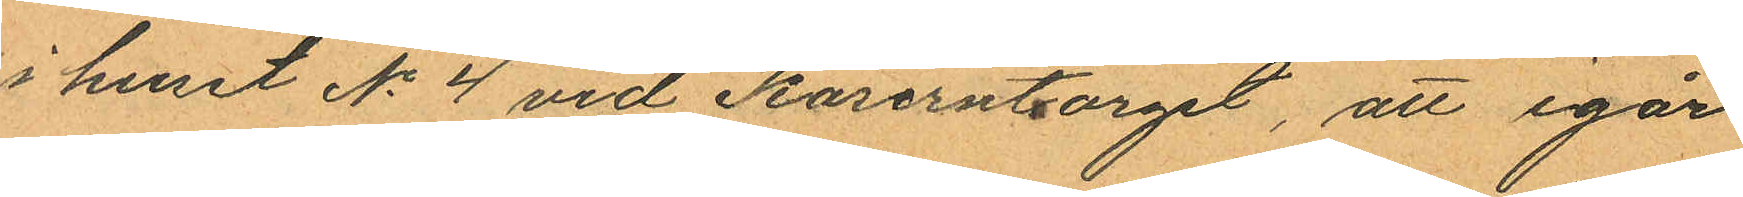i huset No 4 vid Kaserntorget, att igår
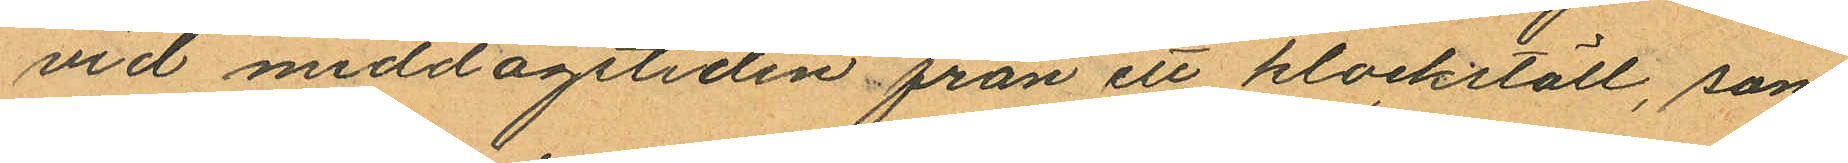vid middagstiden från ett klockståll, som
